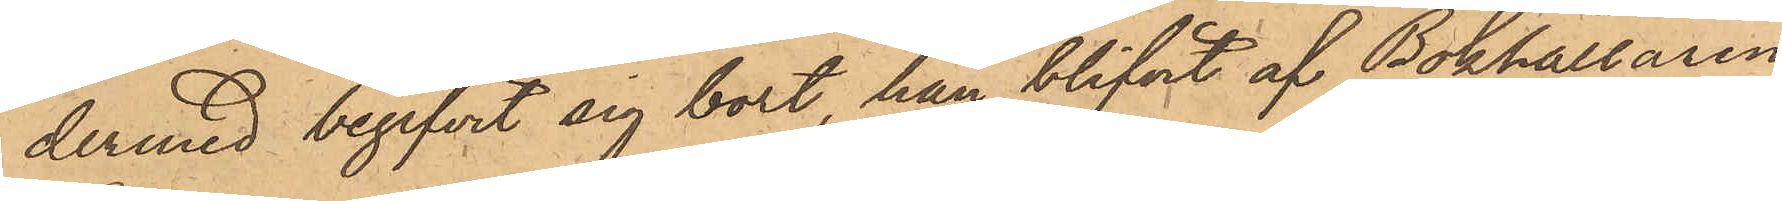dermed begifvit sig bort, han blifvit af Bokhållaren
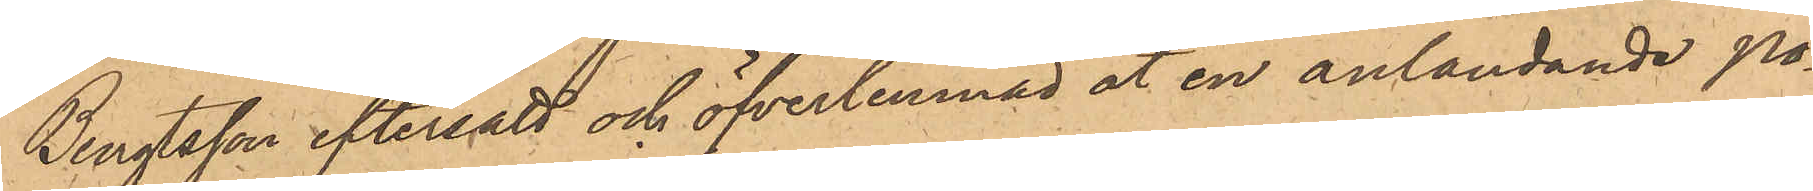Bengtsson eftersatt och öfverlemnad åt en anländande po¬
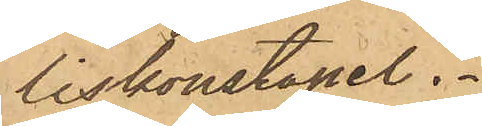liskonstapel.
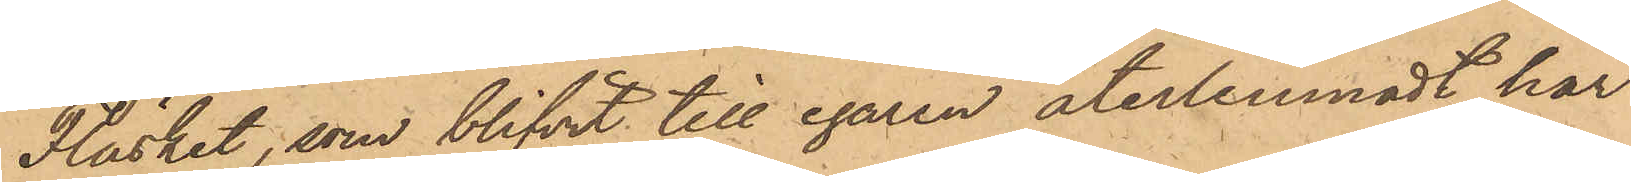Fläsket, som blifvit till egaren återlemnadt har
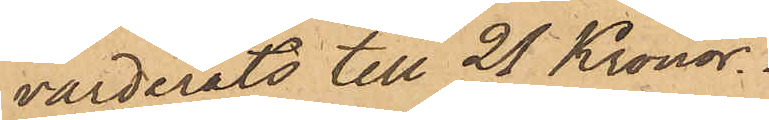värderats till 25 Kronor.
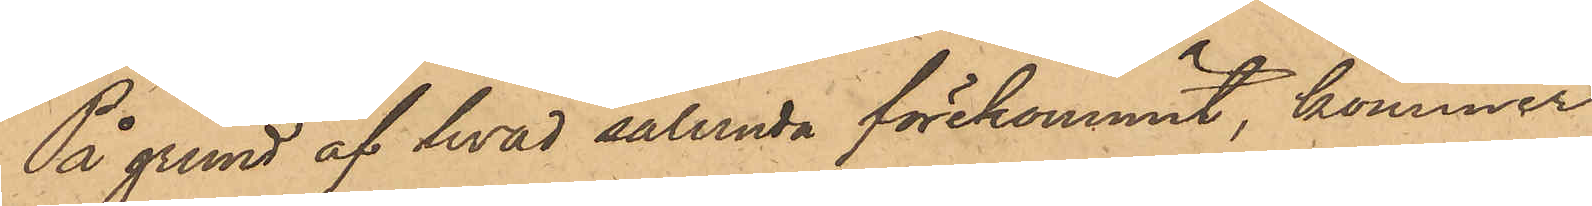På grund af hvad sålunda förekommit, kommer
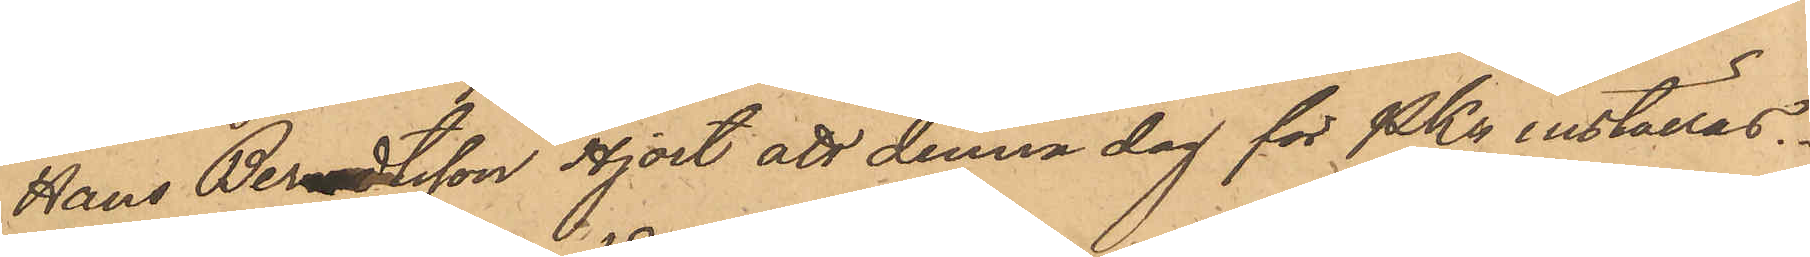Hans Berndtsson Hjort att denna dag för PKn inställas.
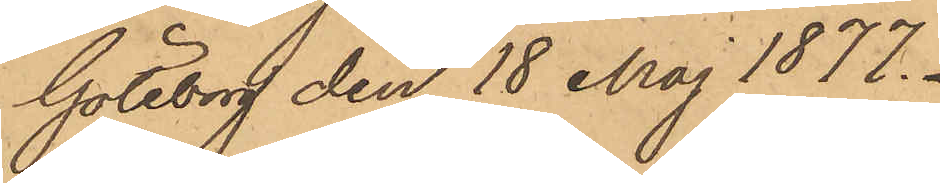Göteborg den 18 Maj 1877.
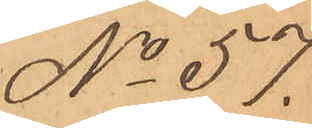No 57.
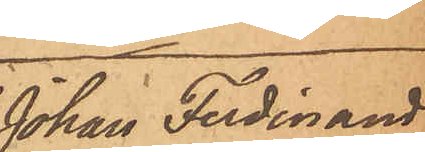Johan Ferdinand
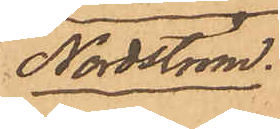Nordström.
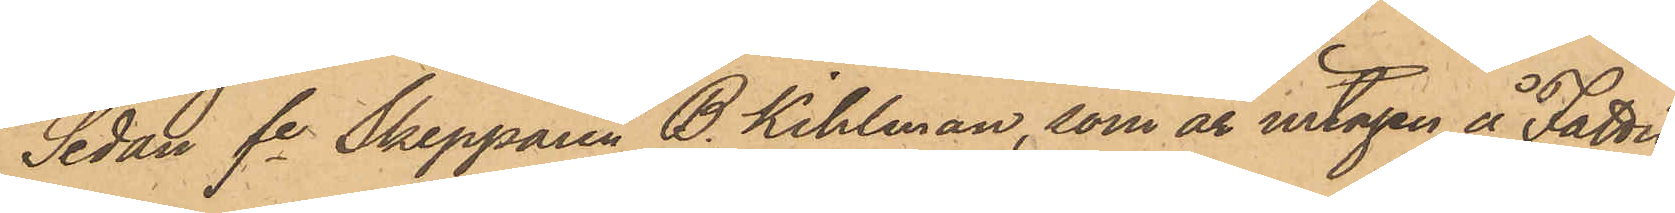Sedan fe Skepparen B. Kihlman, som är intagen å Fattig¬
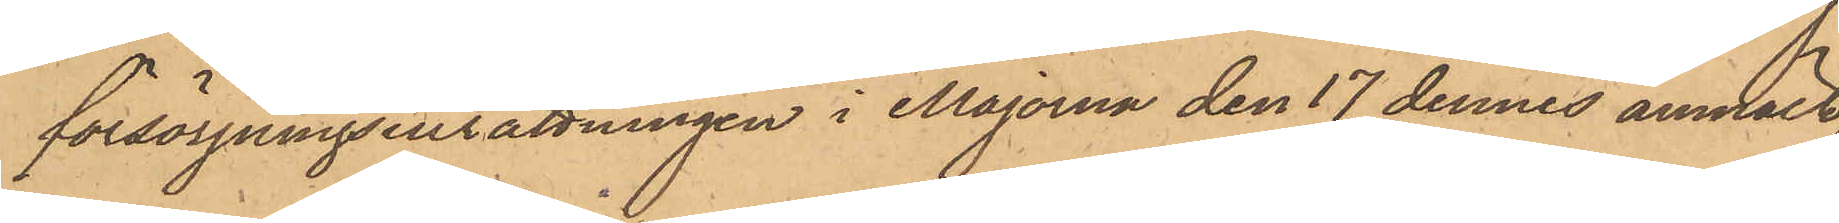försörjningsinrättningen i Majorna den 17 dennes anmält
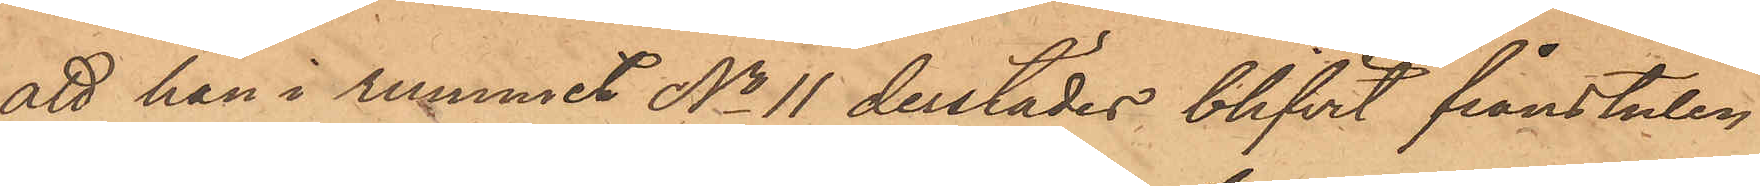att han i rummet No 11 derstädes blifvit frånstulen
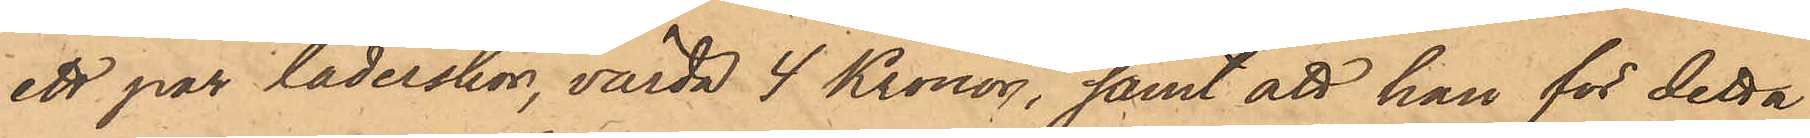ett par läderskor, värda 4 Kronor, samt att han för detta
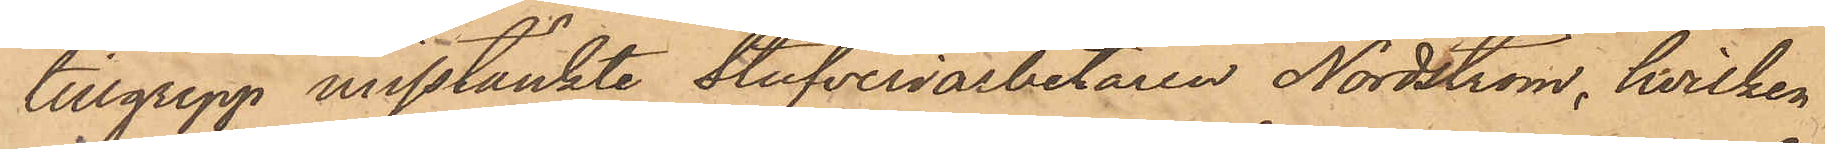tillgrepp misstänkte Stufveriarbetaren Nordström, hvilken
